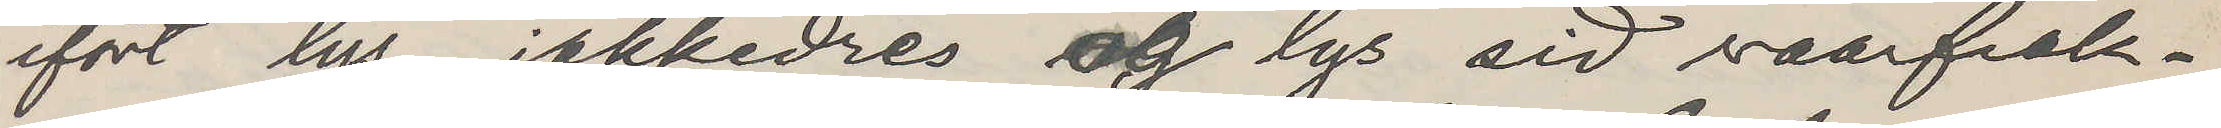ifört lys jakkedres og lys sid vaarfrak¬
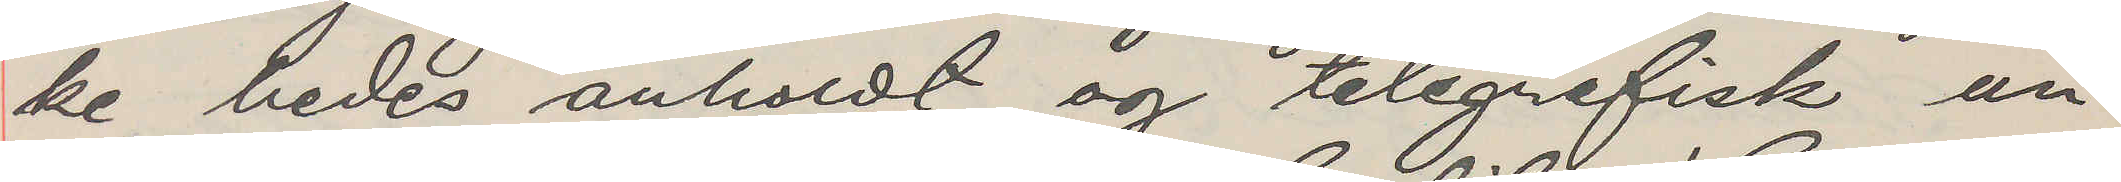ke bedes anholdt og telegrafisk un¬
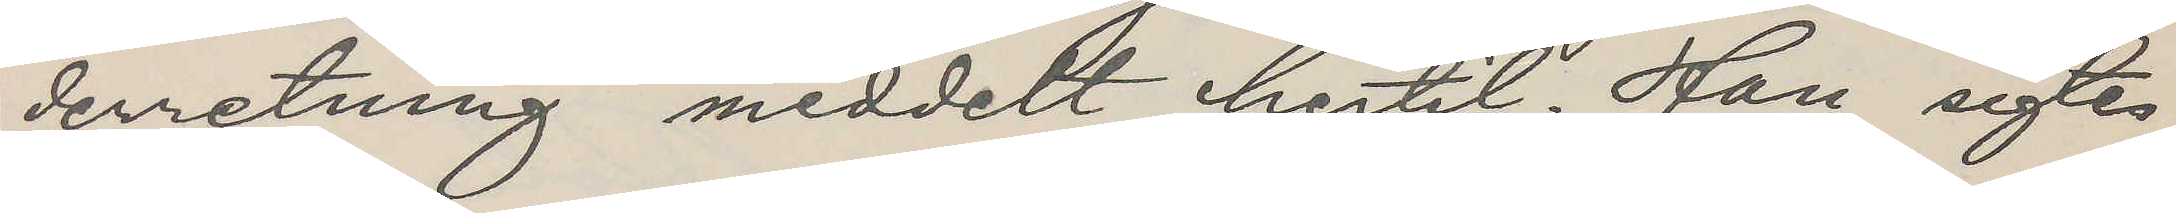derretning meddelt hertil. Han sigtes
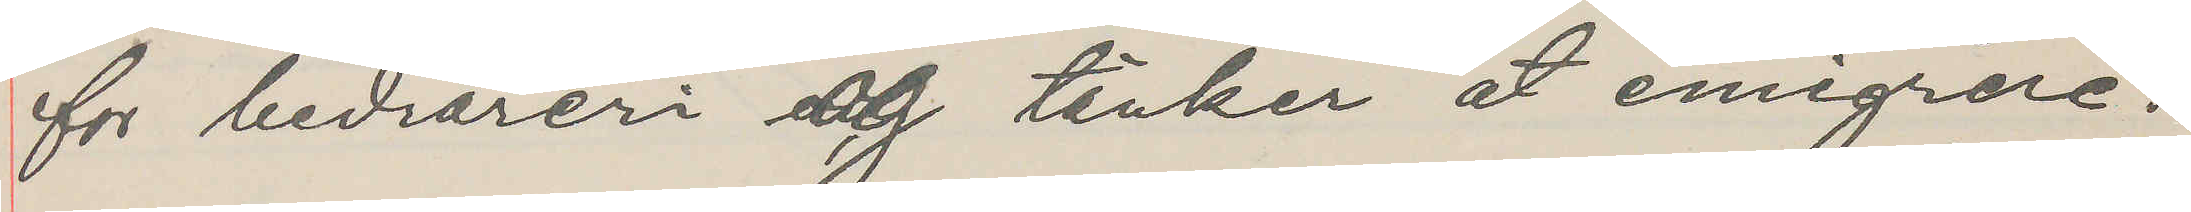for bedrareri og tänker at emigrere.
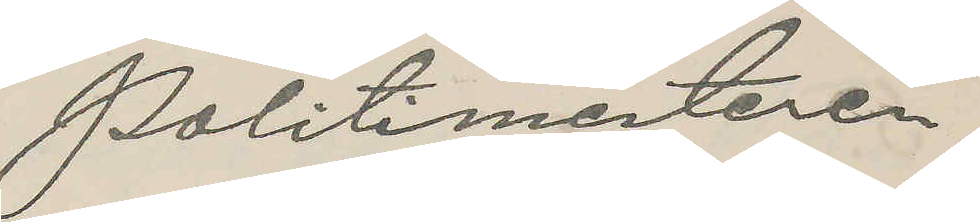Politimesteren
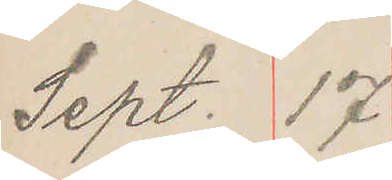Sept. 17
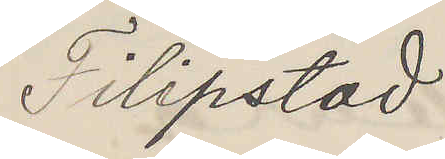Filipstad
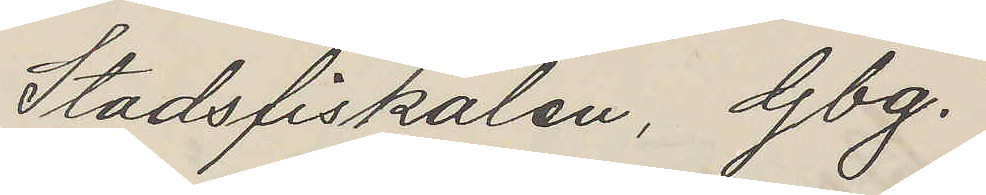Stadsfiskalen, Gbg.
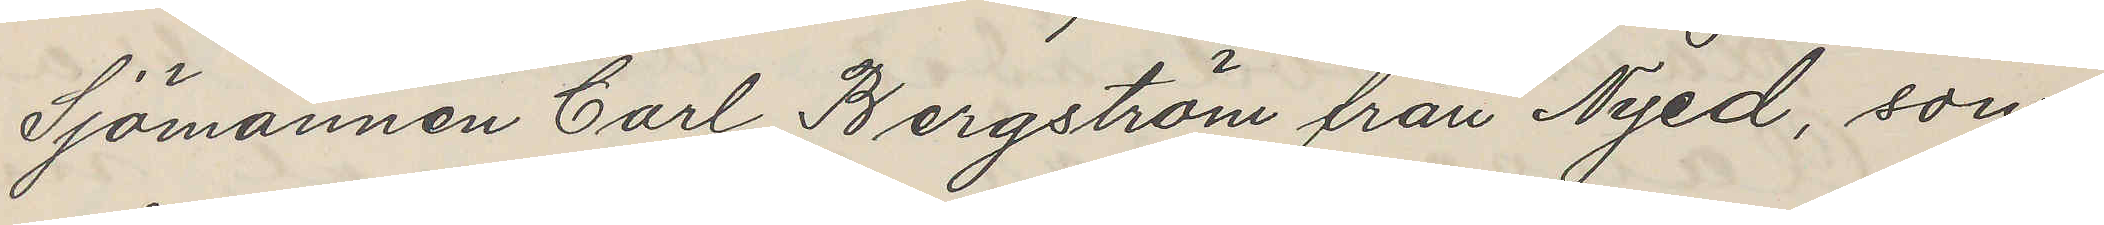Sjömannen Carl Bergström från Nyed, som
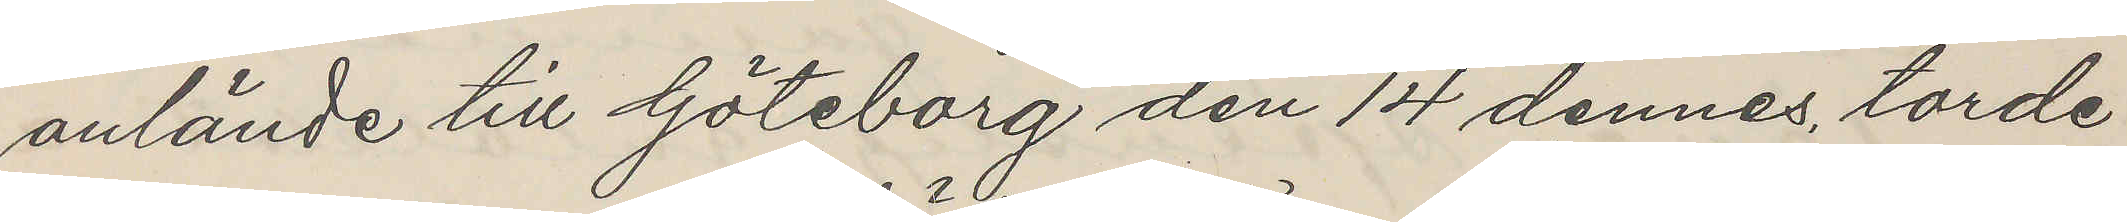anlände till Göteborg den 14 dennes, torde
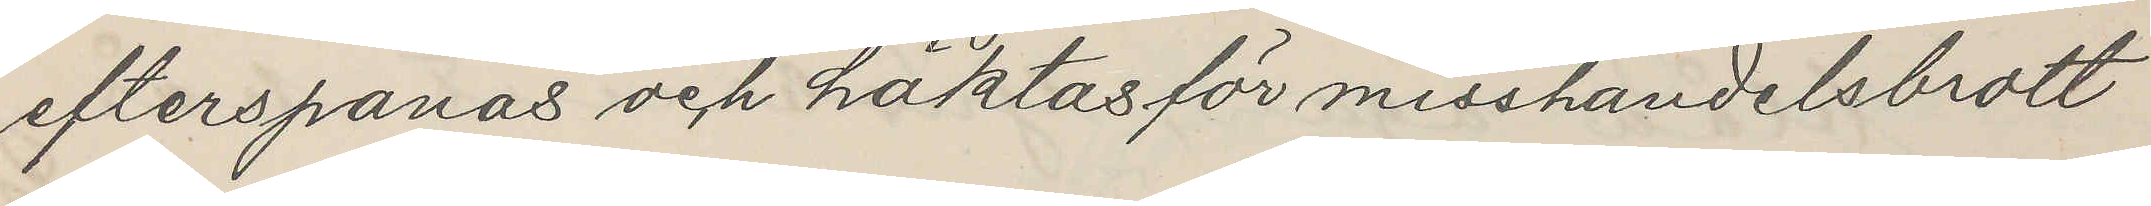efterspanas och häktas för misshandelsbrott
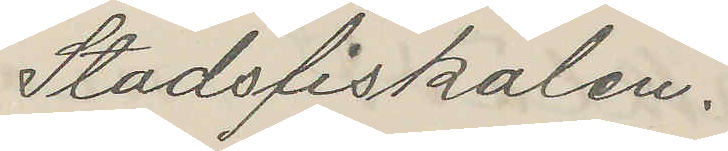Stadsfiskalen.
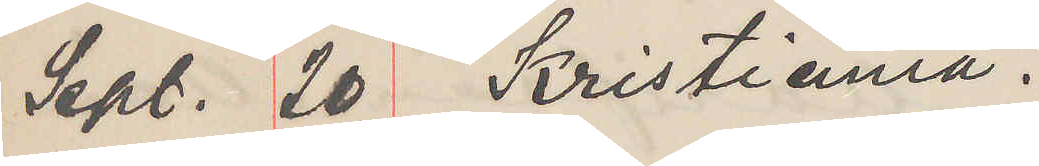Sept. 20 Kristiania.
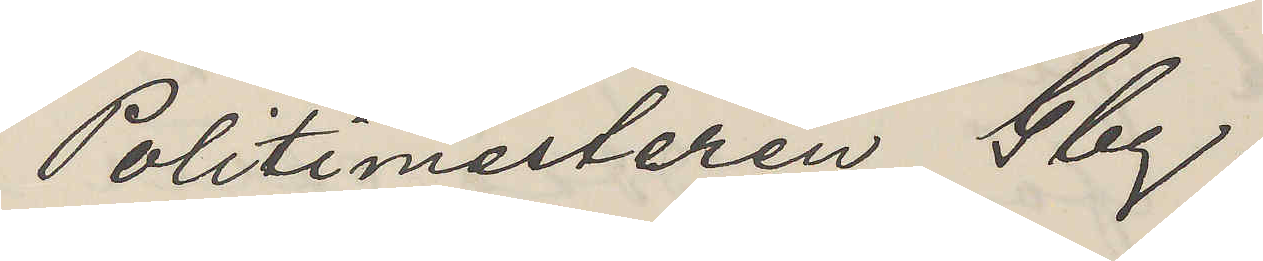Politimesteren Gbg.
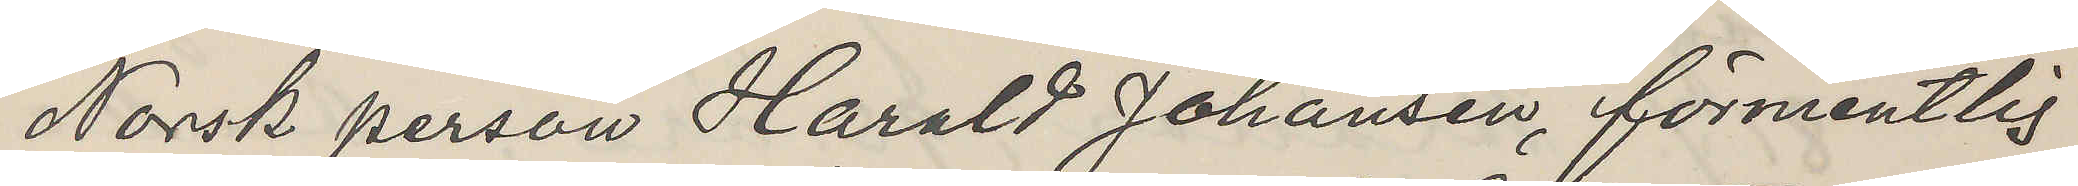Norsk person Harald Johansen, förmentlig
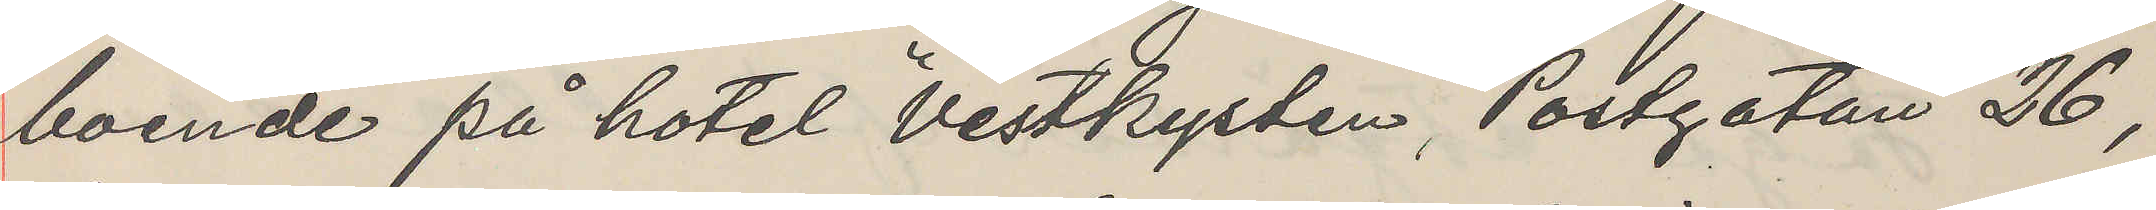boende på hotel "Vestkysten", Postgatan 26,
